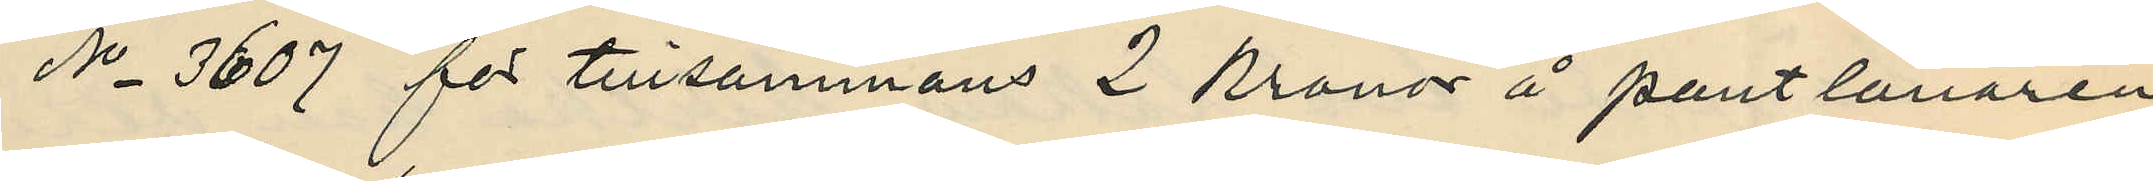No 3607 för tillsammans 2 Kronor å pantlånaren
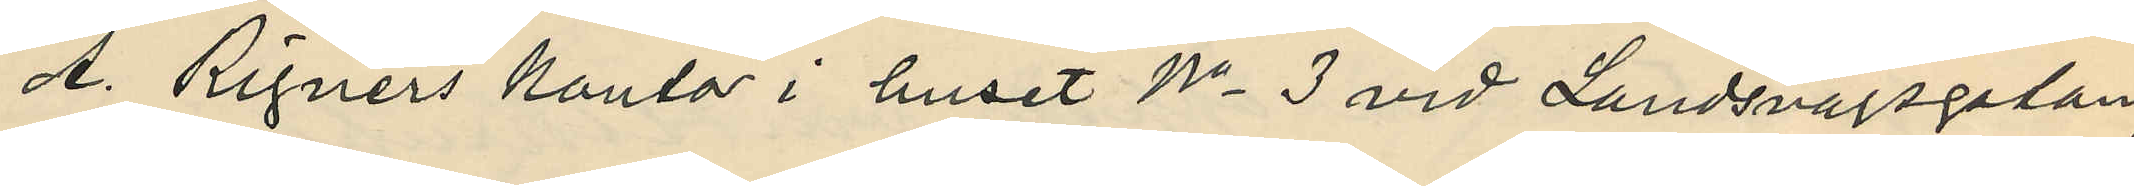A. Rignérs kontor i huset No 3 vid Landsvägsgatan;
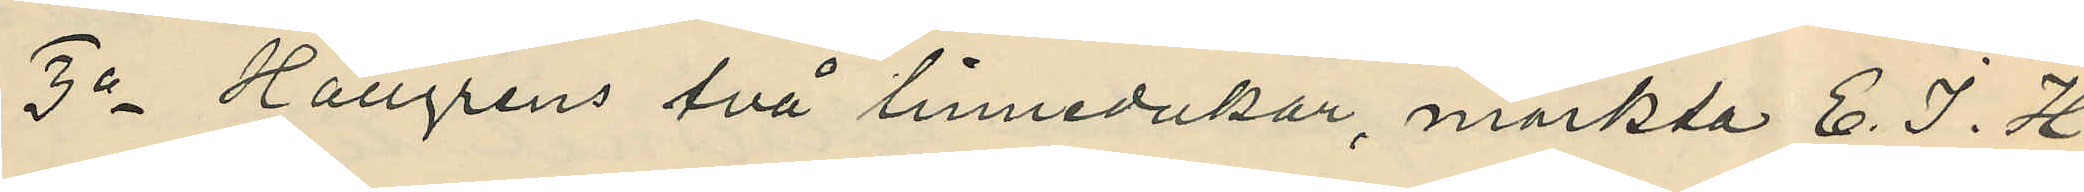3o Hallgrens två linnedukar, märkta E. J. H
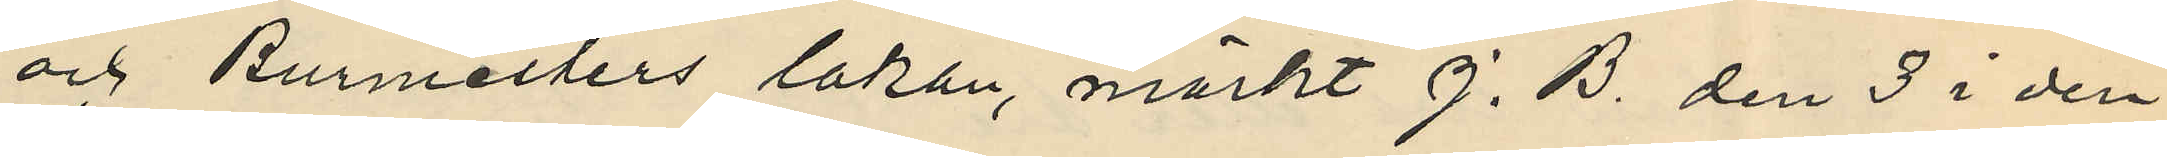och Burmesters lakan, märkt J. B. den 3 i den¬
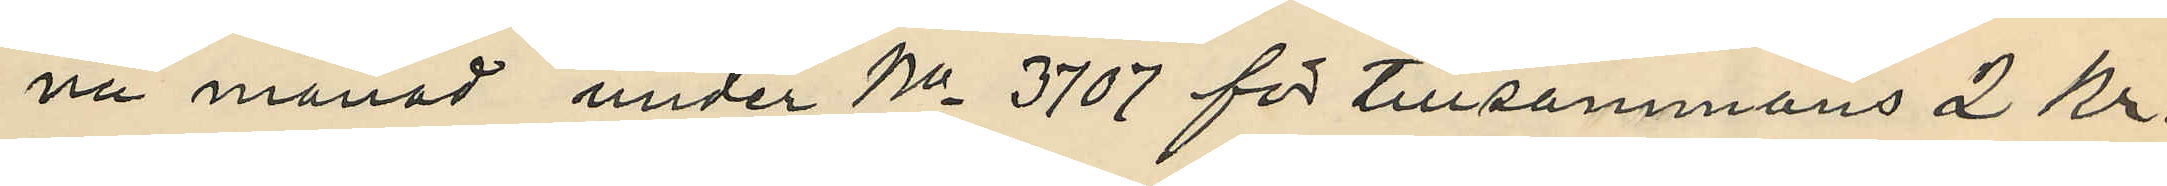na månad under No 3707 för tillsammans 2 Kr.
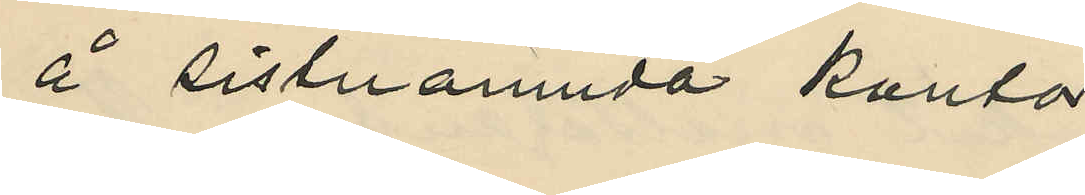å sistnämnda kontor;
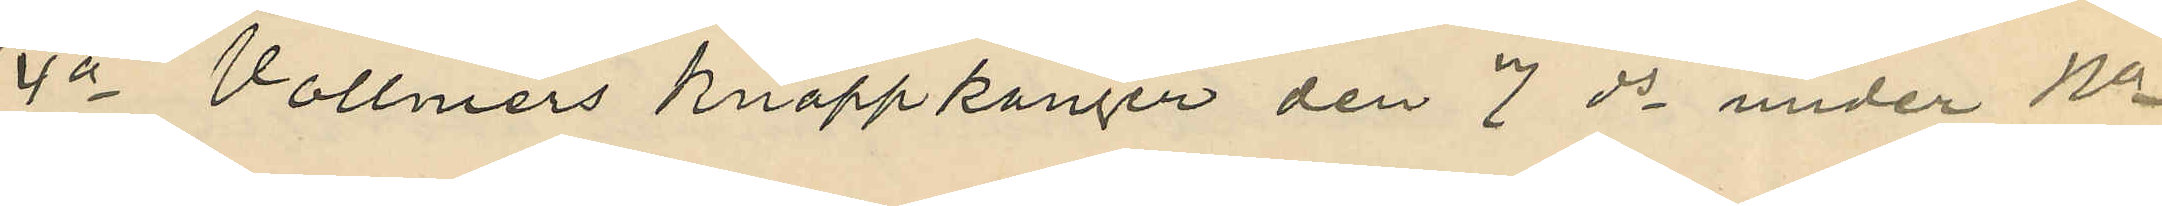4o Vollmers knappkänger den 7 ds under No
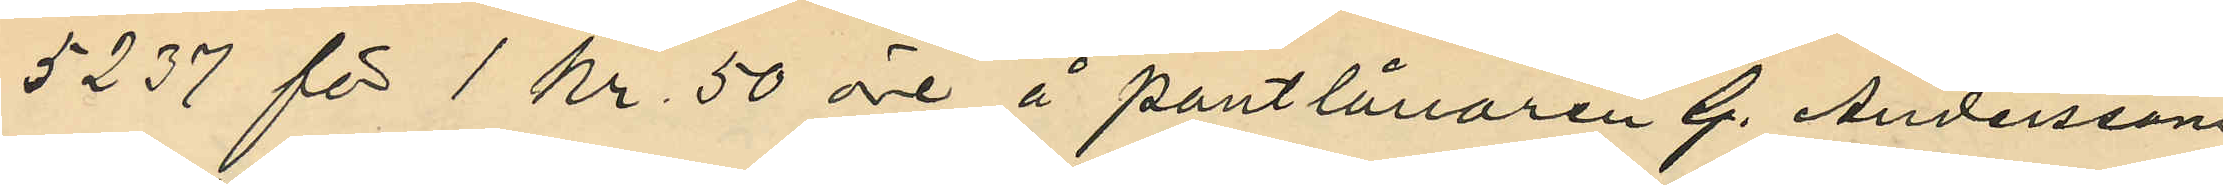5237 för 1 kr 50 öre å pantlånaren G. Anderssons
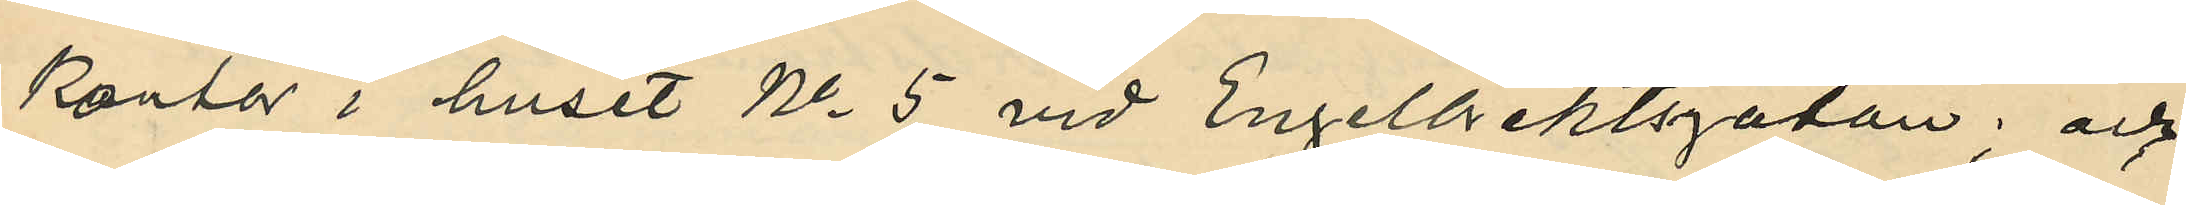kontor i huset No 5 vid Engelbrektsgatan; och
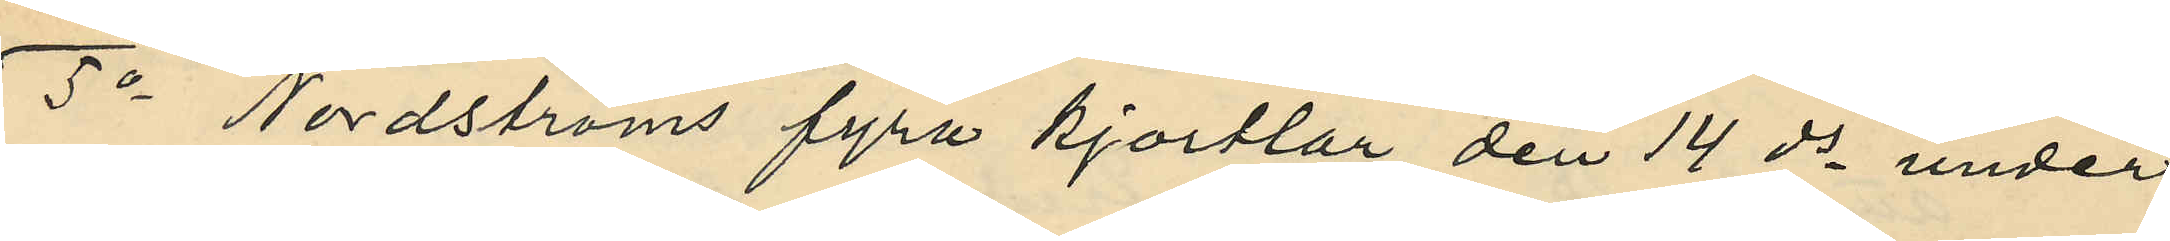5o Nordströms fyra kjortlar den 14 ds under
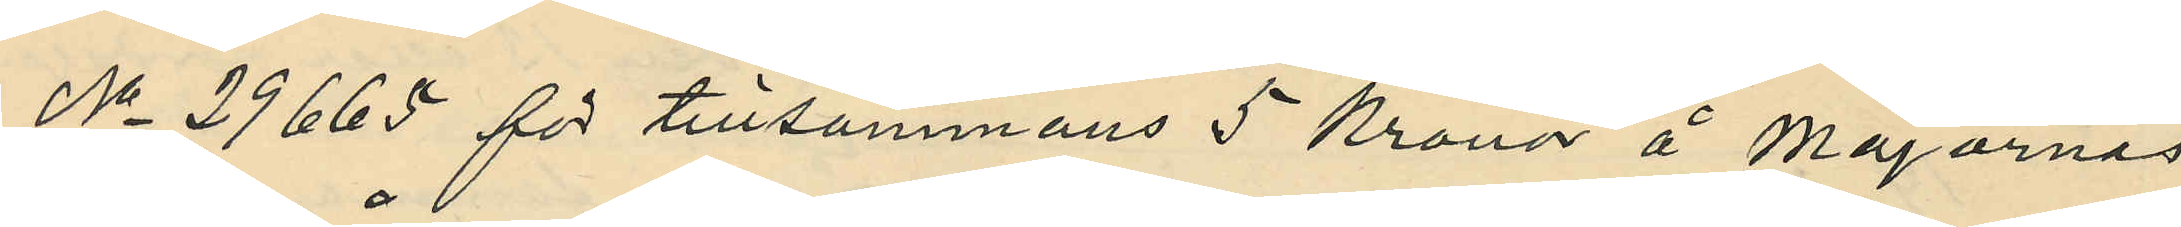No 29665 för tillsammans 5 Kronor å Majornas
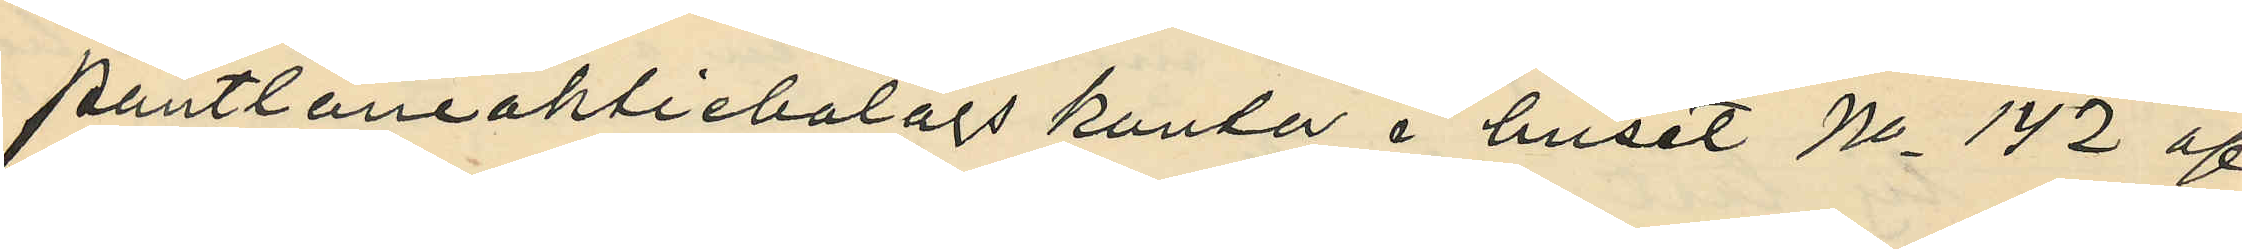pantlåneaktiebolags kontor i huset No 142 af
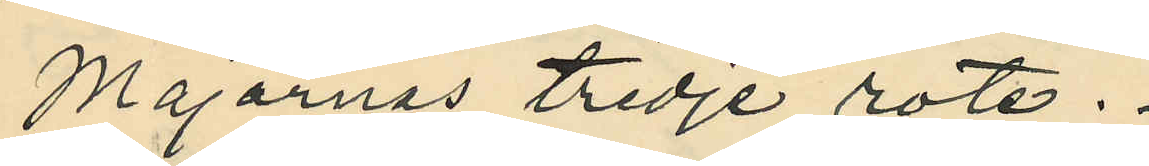Majornas tredje rote.
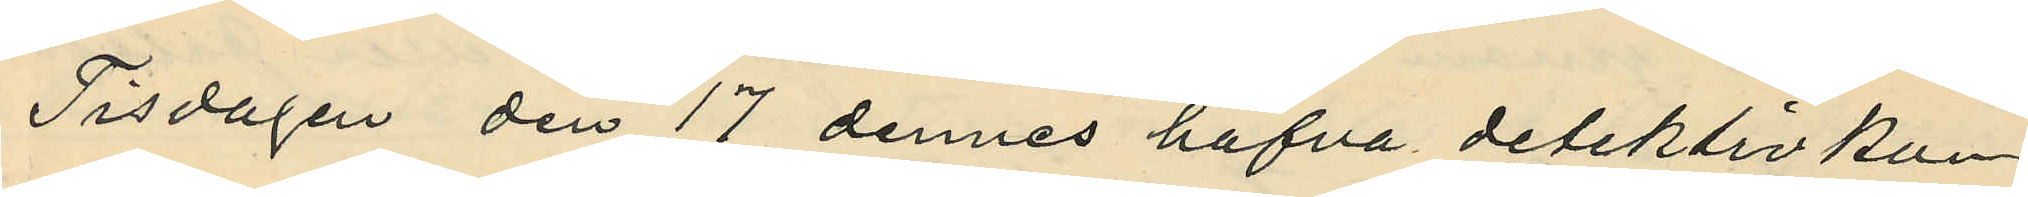Tisdagen den 17 dennes hafva detektivkon¬
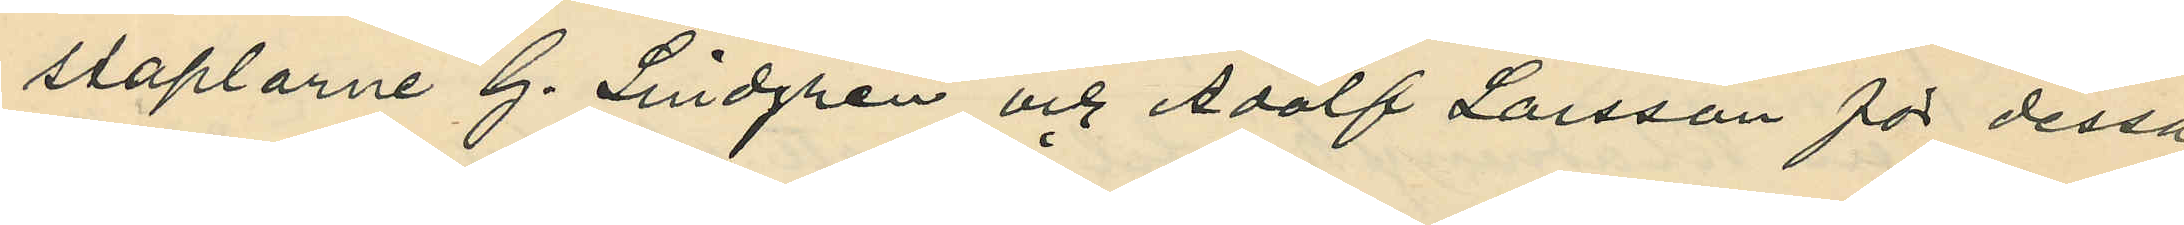staplarne G. Lindgren och Adolf Larsson för dessa
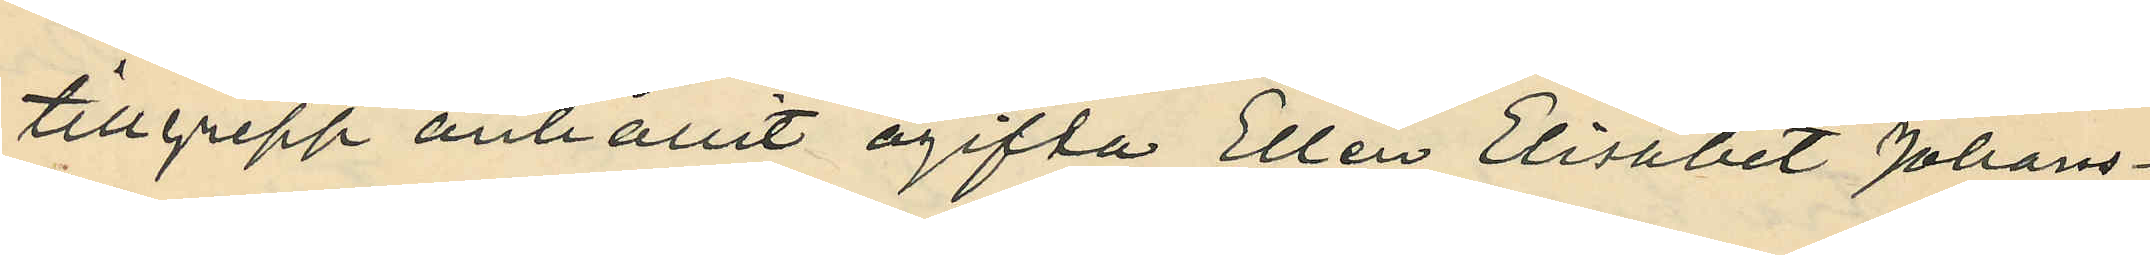tillgrepp anhållit ogifta Ellen Elisabet Johans¬
